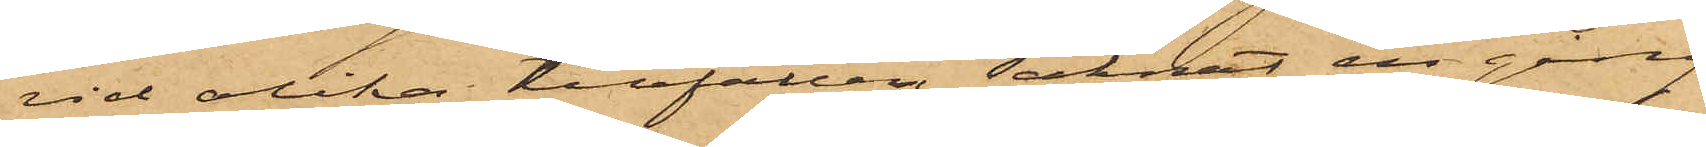vid olika tillfällen saknat en gång
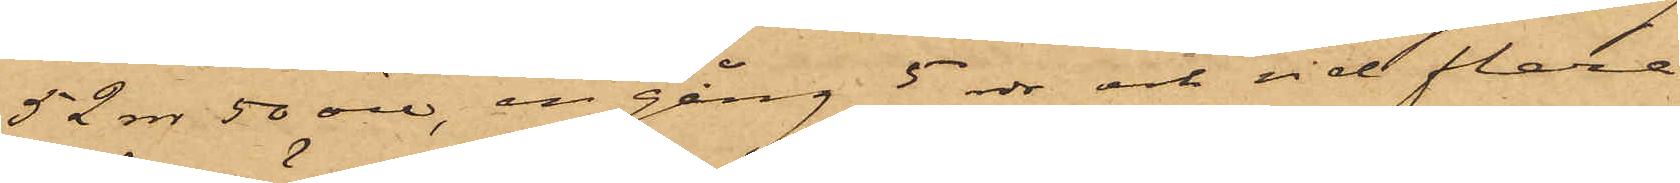52 rdr 50 öre, en gång 5 rdr och vid flera
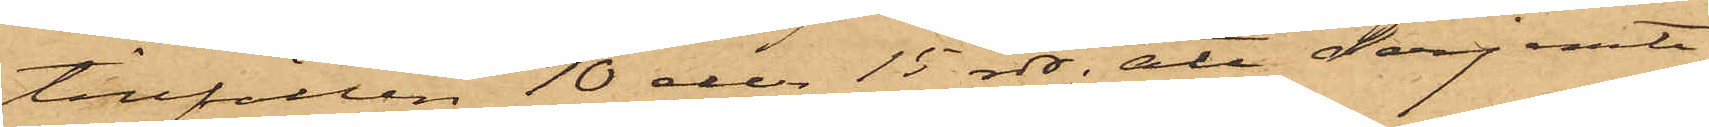tillfällen 10 och 15 rdr; att derjemte
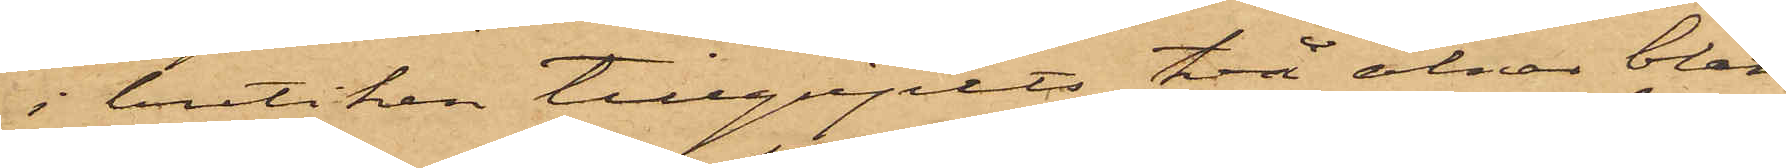i butiken tillgripits två alnar blått
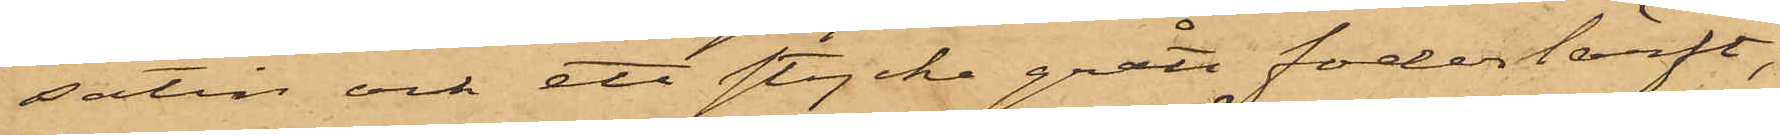satin och ett stycke grått foderlärft,
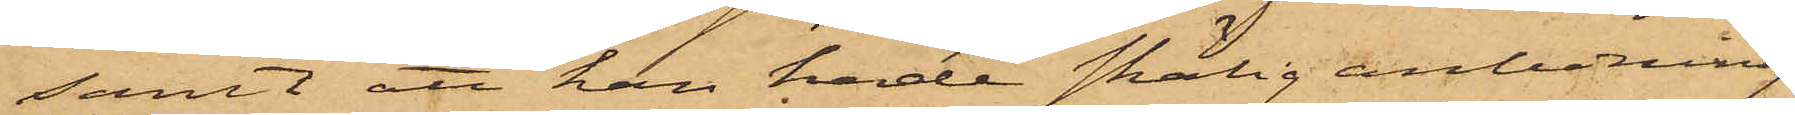samt att han hade skälig anledning
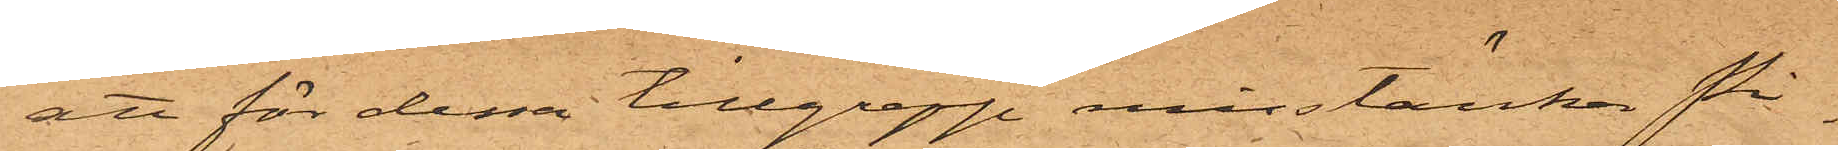att för dessa tillgrepp misstänka pi¬
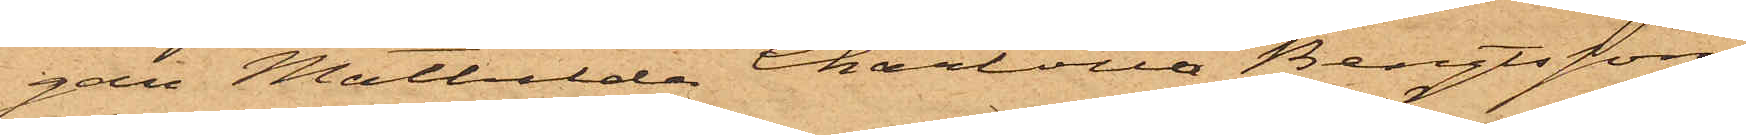gan Mathilda Charlotta Bengtsson,
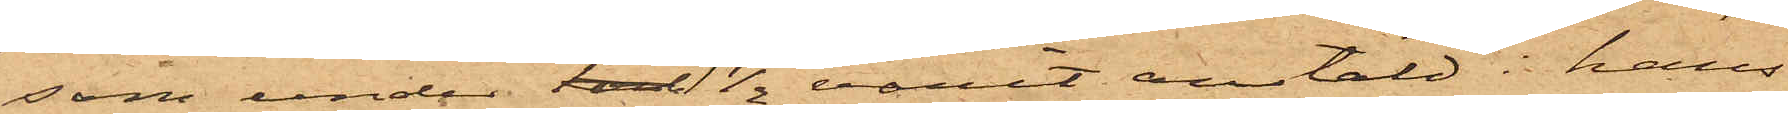som under tal 1½ varit anstäld i hans
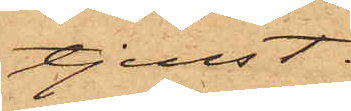tjenst.
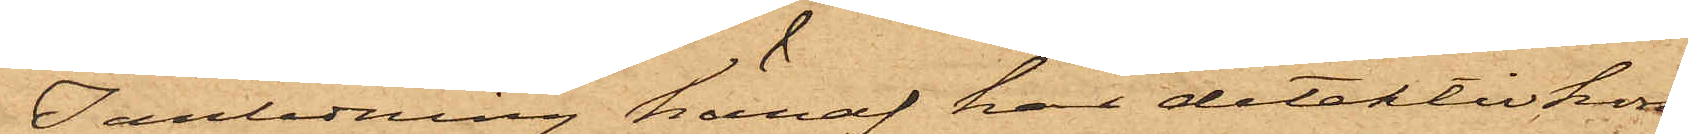I anledning häraf har detektivkon¬
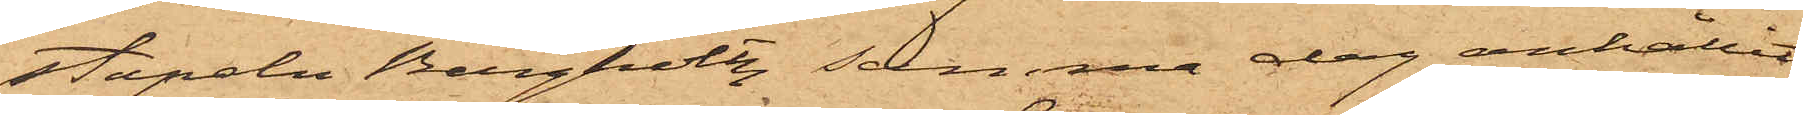stapeln Bergholtz samma dag anhållit
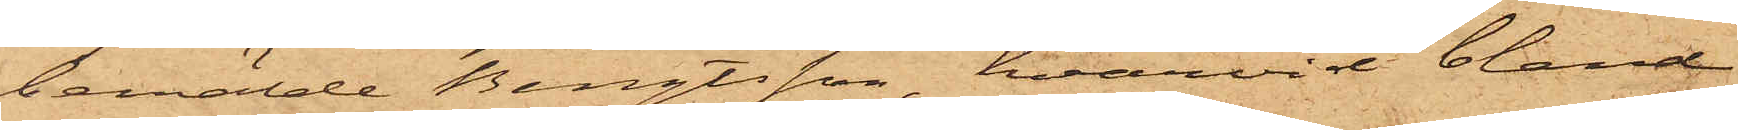bemälde Bengtsson, hvarvid bland
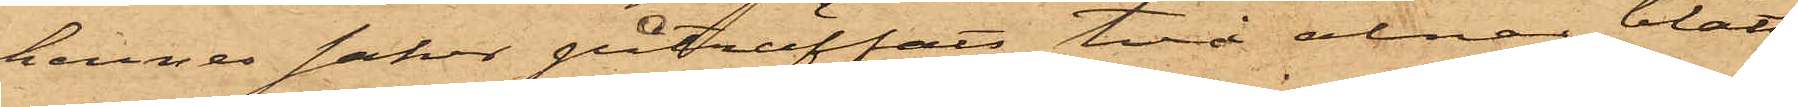hennes saker påträffats två alnar blått
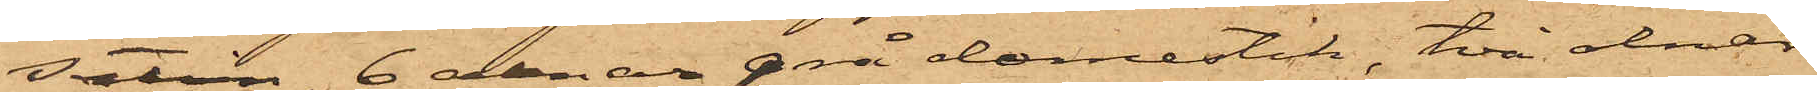satin, 6 alnar grå domestik, två alnar
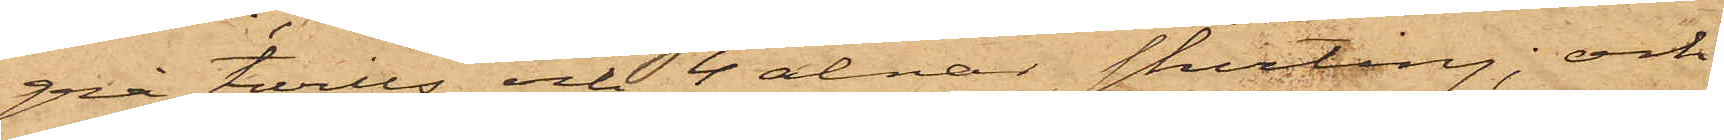grå twills och 4 alnar shirting; och
